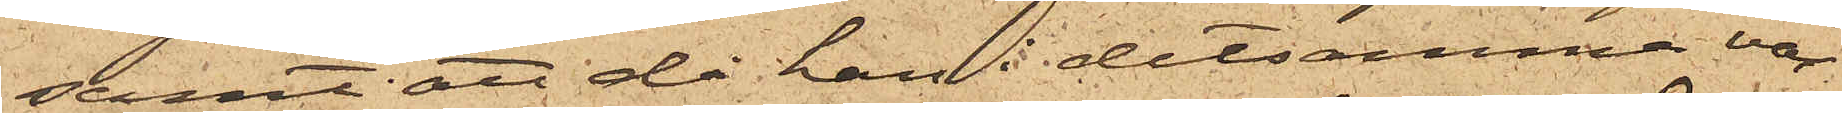samt att då han i detsamma var¬
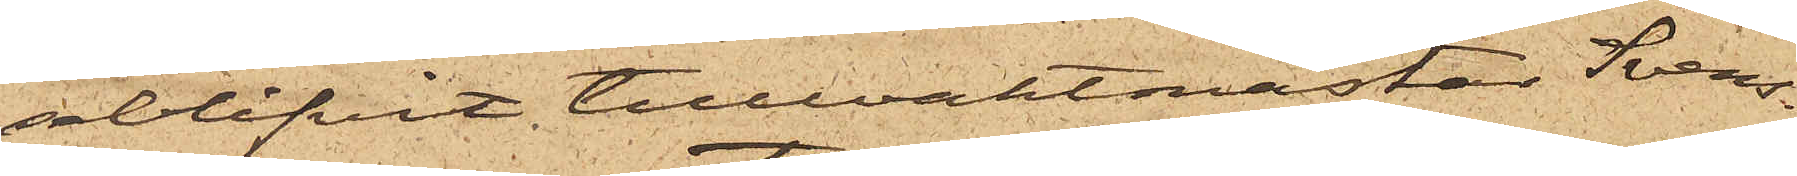seblifvit tullvaktmästar Svens¬
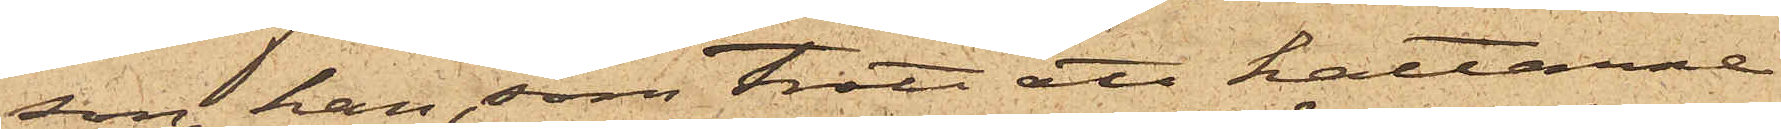son, han, som trott att hattarne
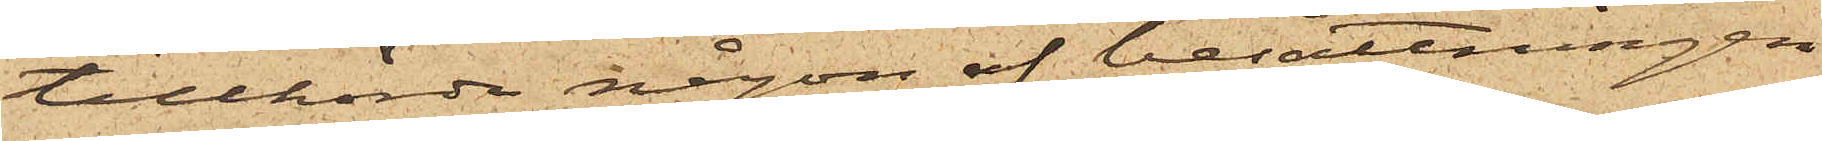tillhörde någon af besättningen
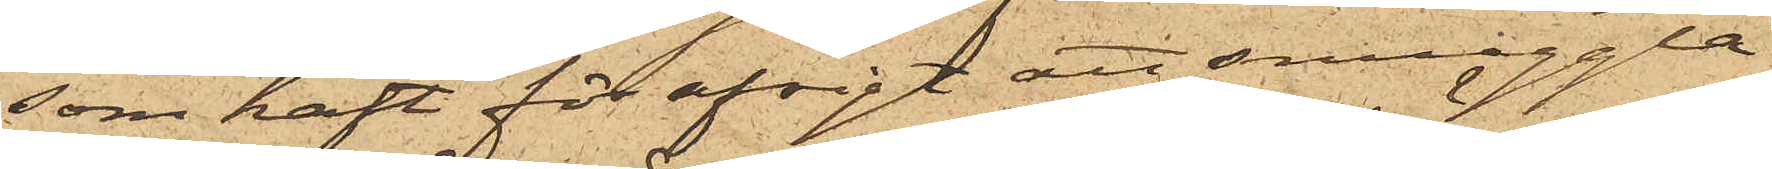som haft för afsigt att smuggla
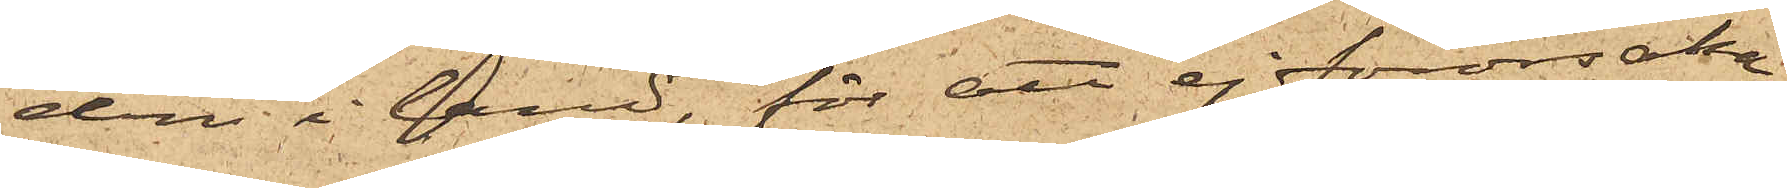dem i land, för att ej förorsaka
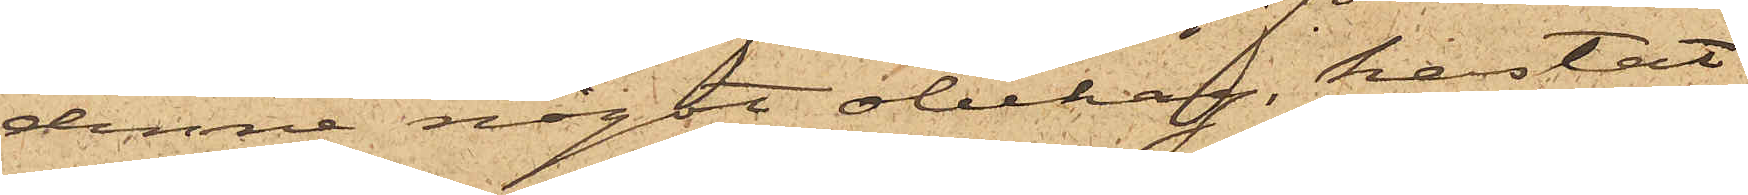denne något obehag, kastat
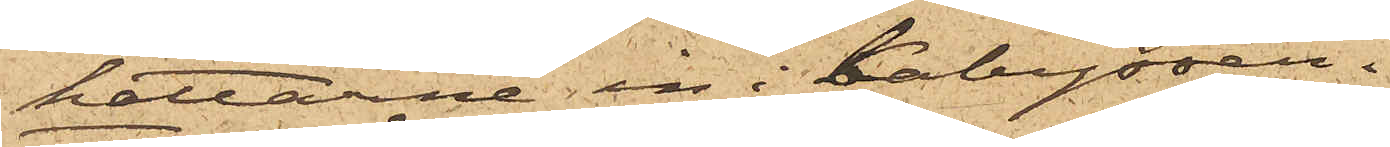hattarne in i kabyssen. 
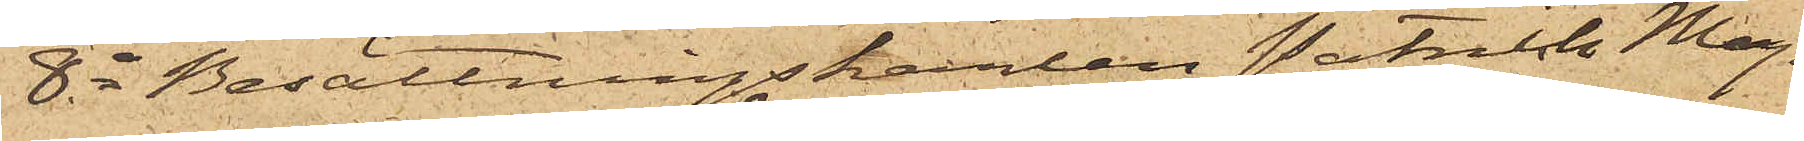8o Besättningskarlen Patrick Mag¬
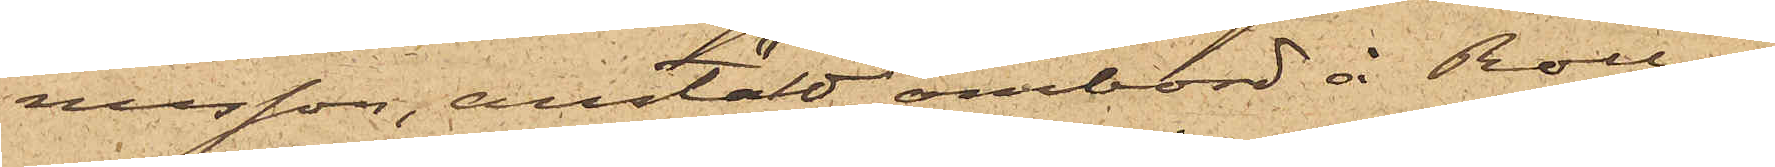nusson, anstäld ombord å Rollo,
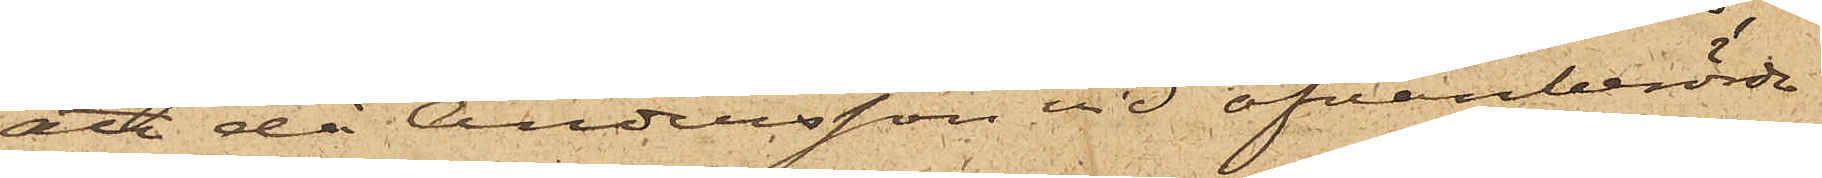att då Andersson vid ofvanberörde
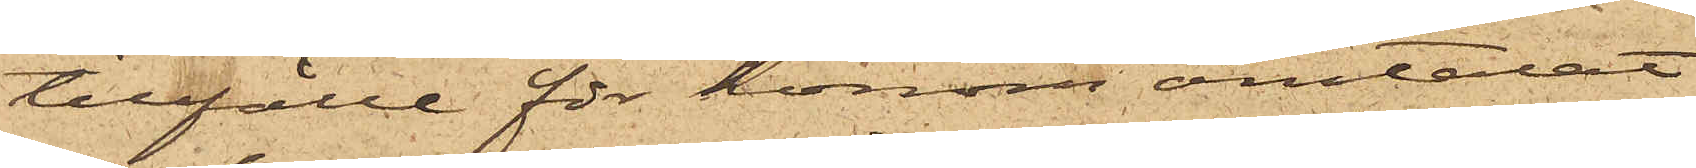tillfälle för honom omtalat
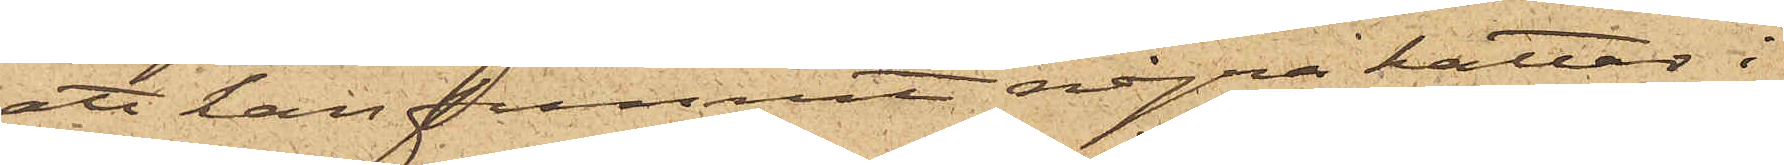att han funnit några hattar i
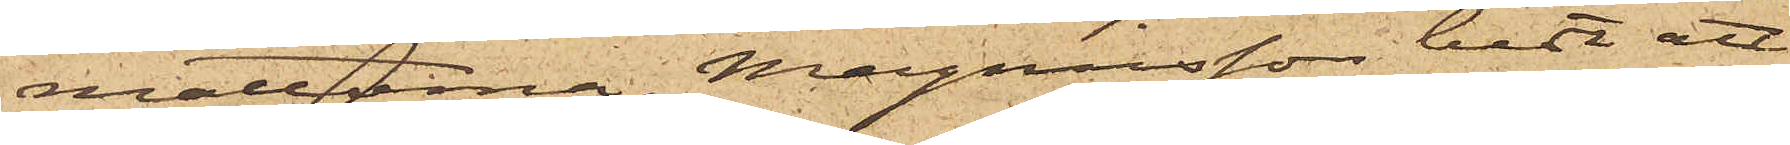mattorna, Magnusson bett att
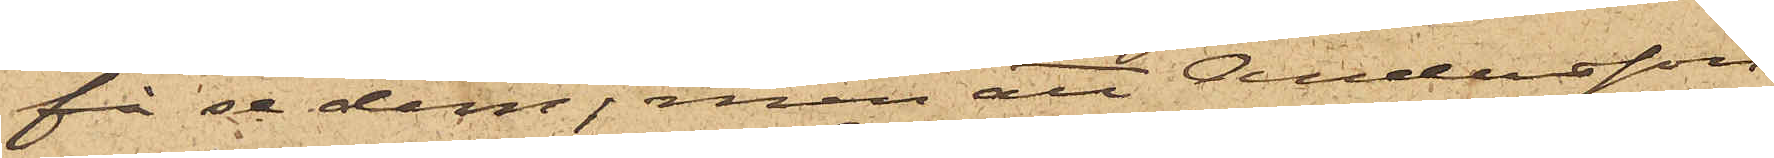få se dem, men att Andersson
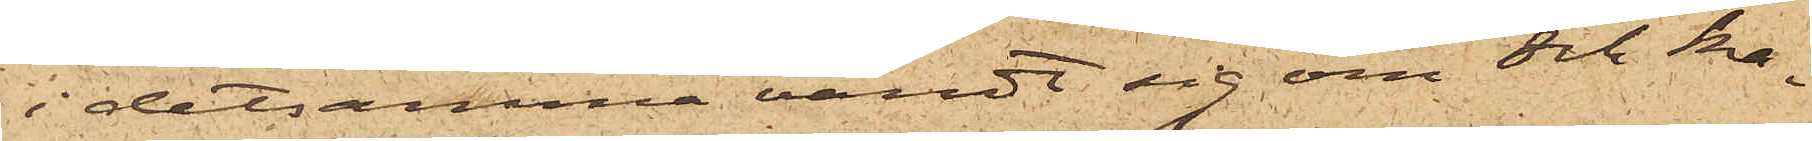i detsamma vändt sig om och ka¬
